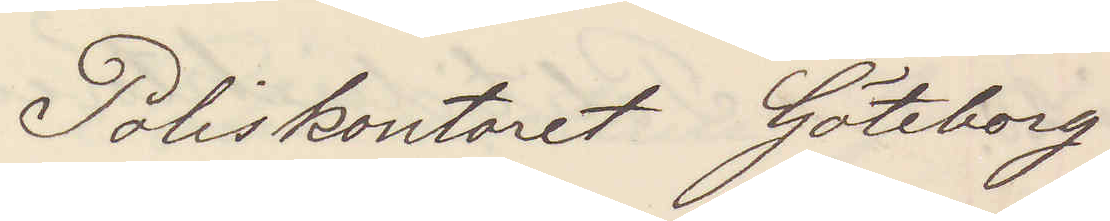Poliskontoret Göteborg
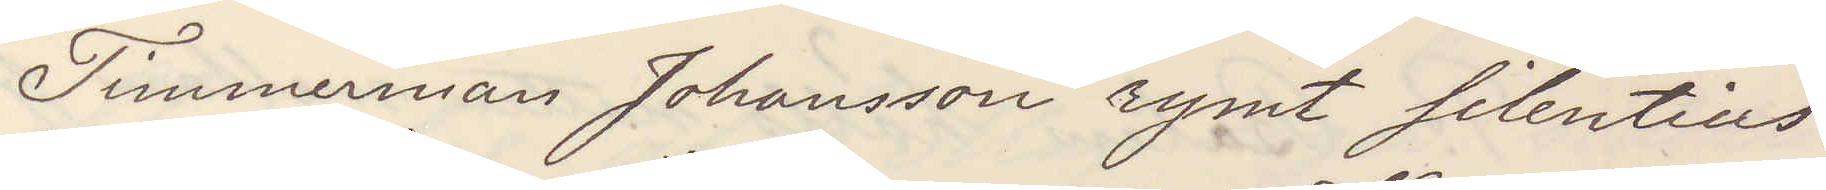Timmerman Johansson rymt Silentius
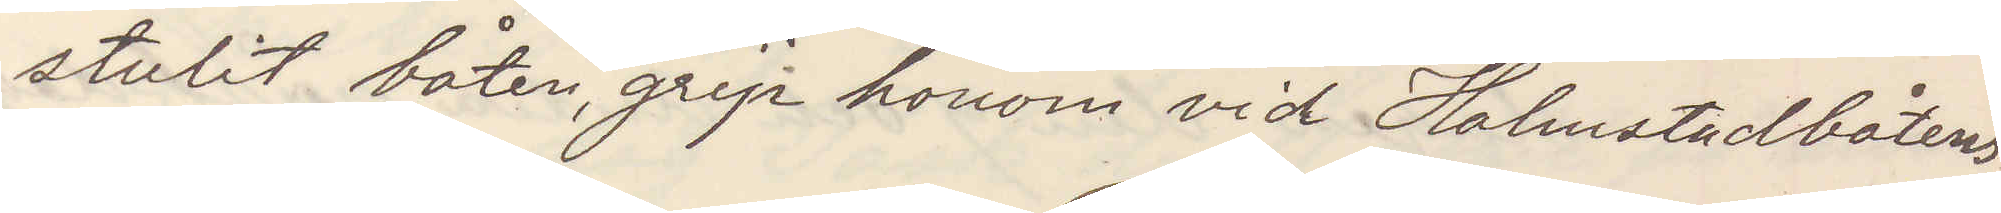stulit båten, grip honom vid Halmstadsbåtens
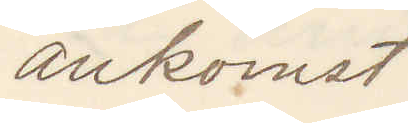ankomst
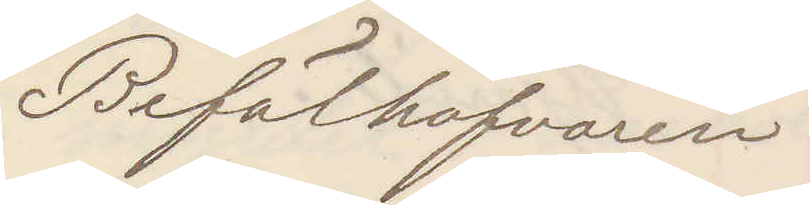Befälhafvaren
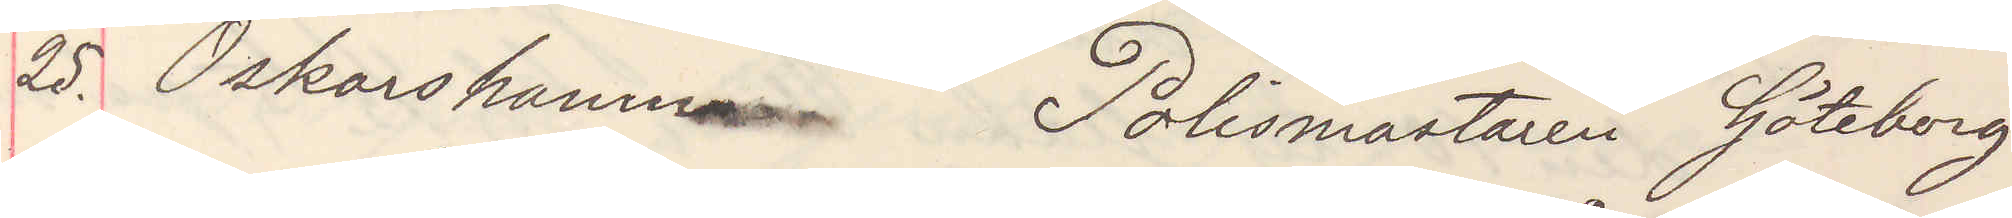25. Oskarshamn Polismästaren Göteborg
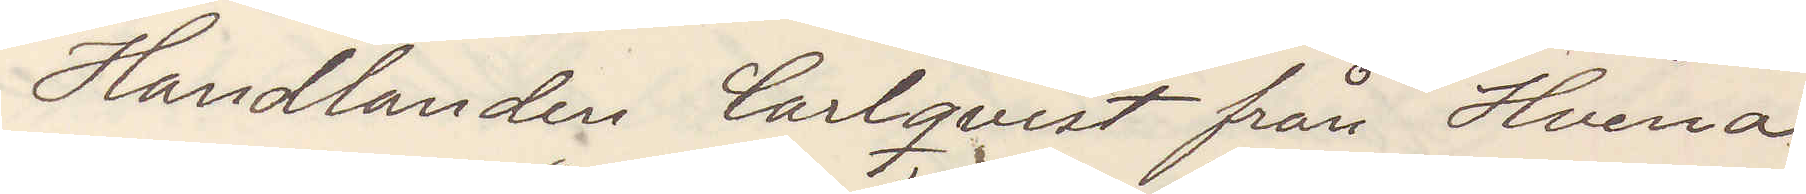Handlanden Carlqvist från Hvena
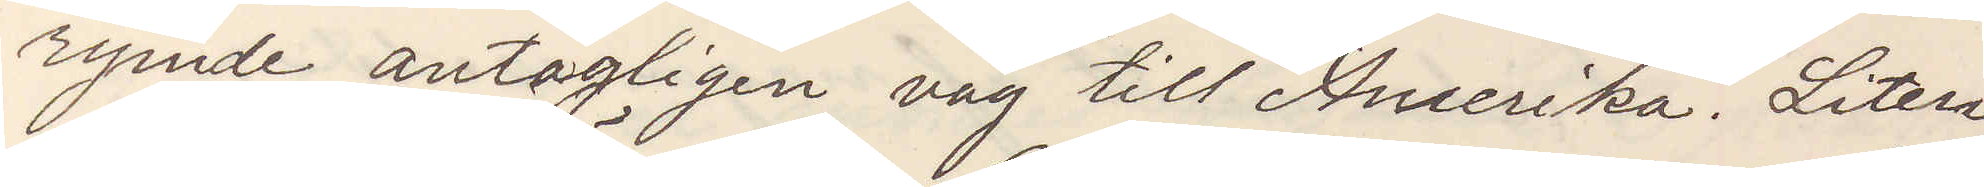rymde antagligen väg till Amerika. Liten
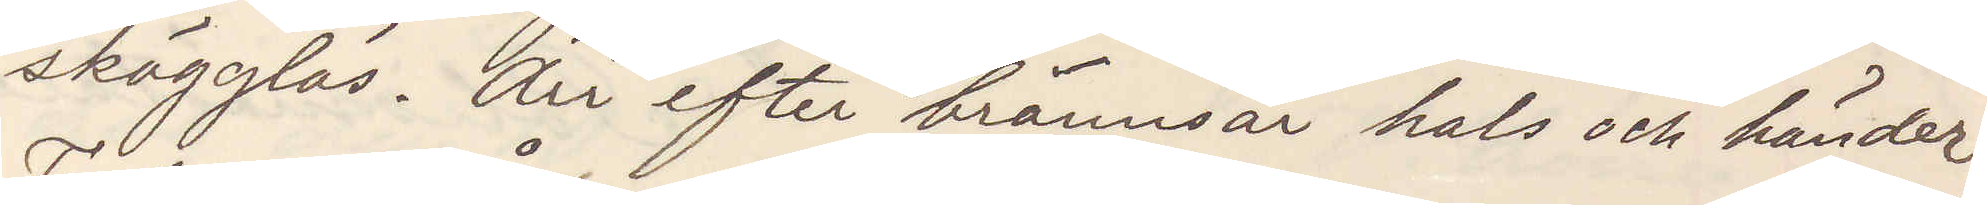skägglös. Ärr efter brännsår hals och händer.
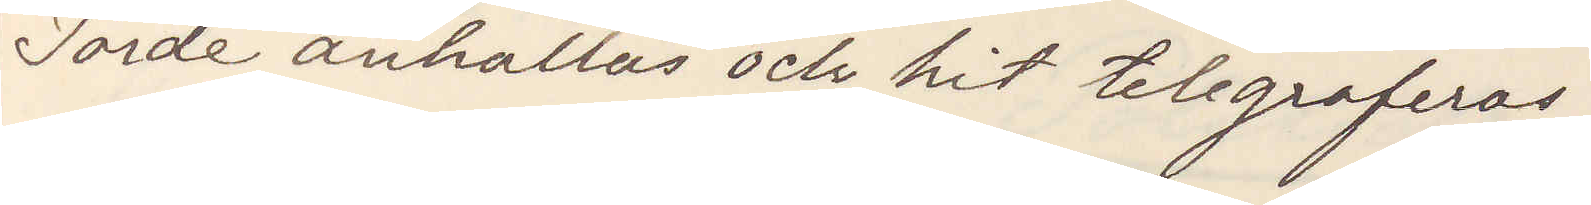Torde anhållas och hit telegraferas.
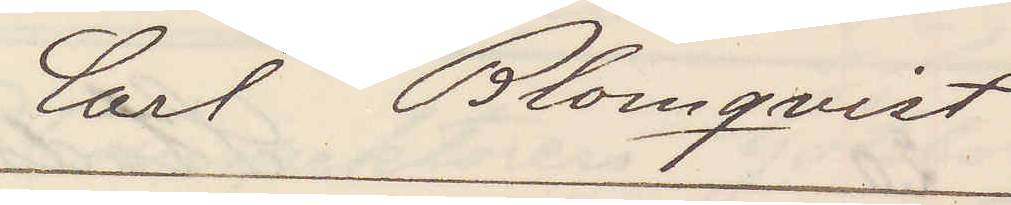Carl Blomqvist
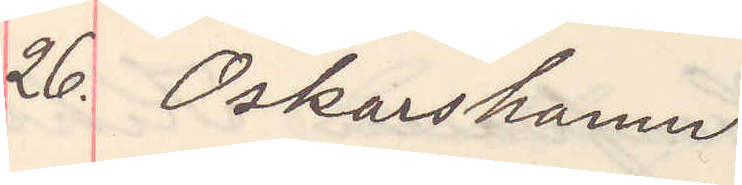26. Oskarshamn
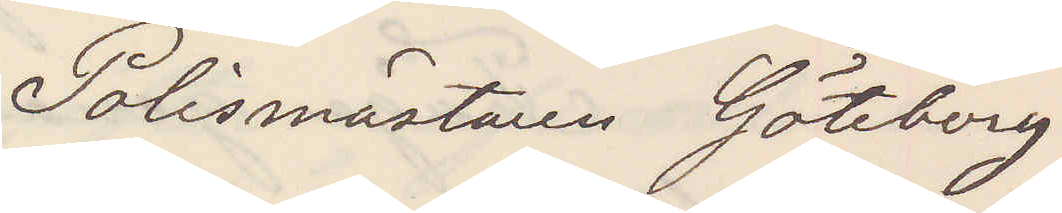Polismästaren Göteborg
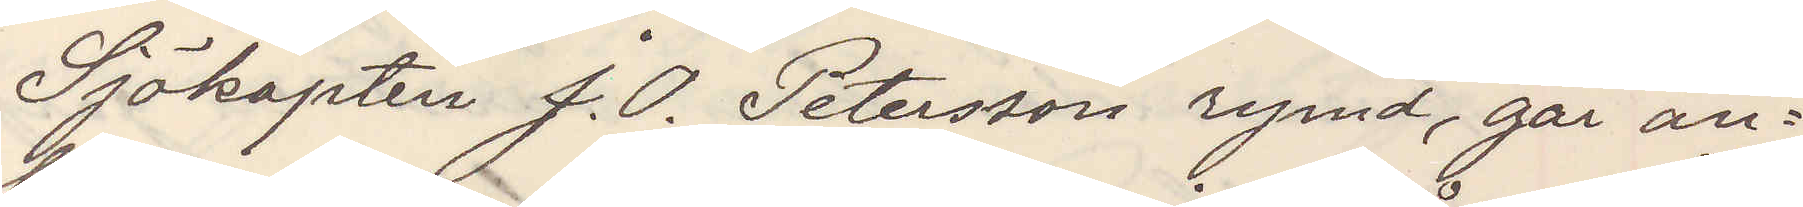Sjökapten J. O. Peterson rymd, går an¬
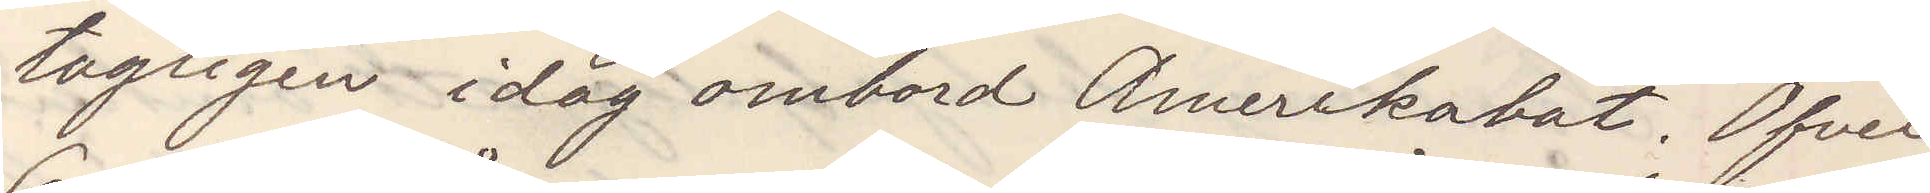tagligen idag ombord Amerikabåt. Öfver
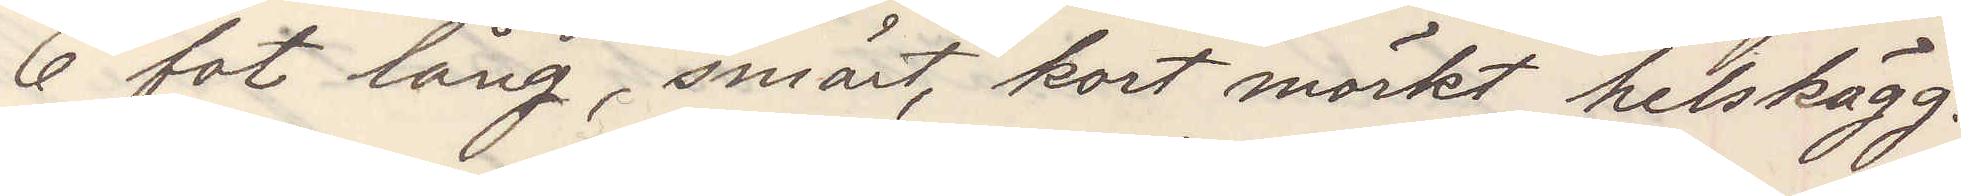6 fot lång, smärt, kort mörkt helskägg.
